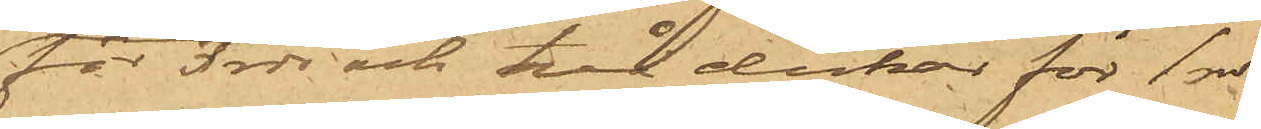för 3 rdr och två dukar för 1 rdr
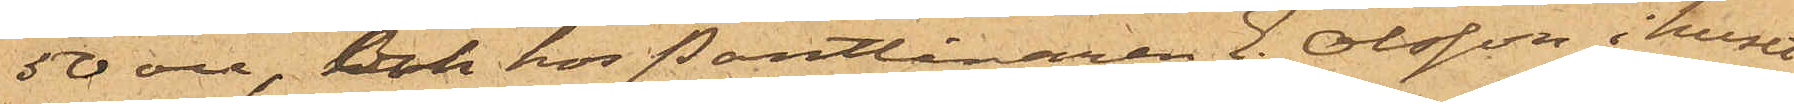50 öre, och hos Pantlånaren E. Olsson i huset
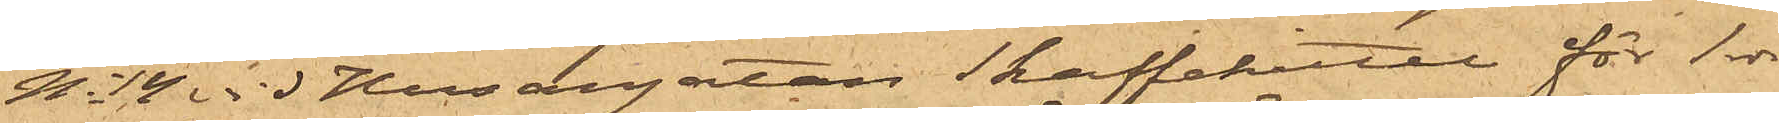No 14 vid Husargatan en kaffeqvarn för 1 rdr
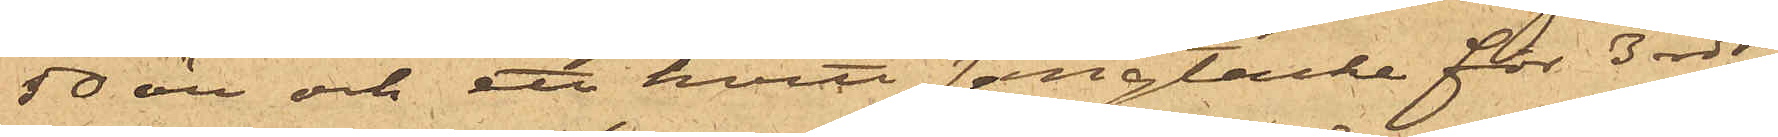50 öre och ett hvitt sängtäcke för 3 rdr;
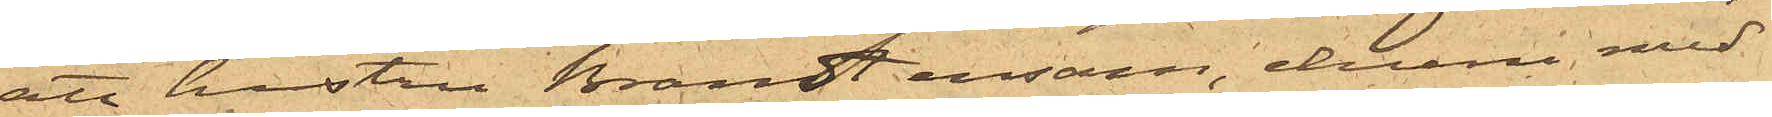att hustru Brandt ensam, ehuru med
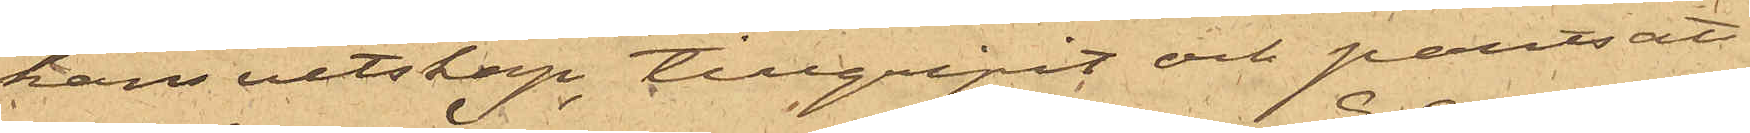hans vetskap, tillgripit och pantsatt
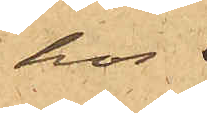hos 
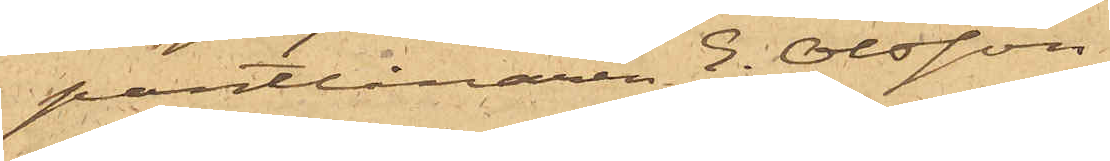pantlånaren E. Olsson
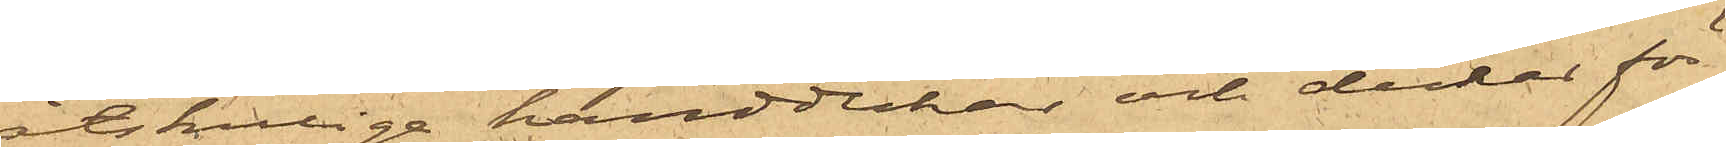åtskillige handdukar och dukar för
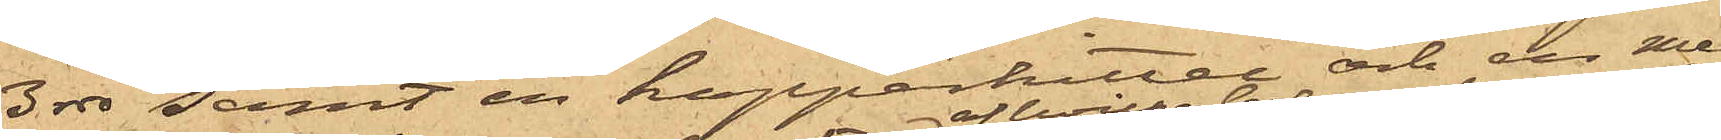3 rdr samt en kopparkittel och en mes¬
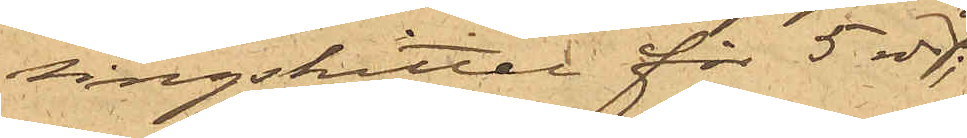singskittel för 5 rdr,
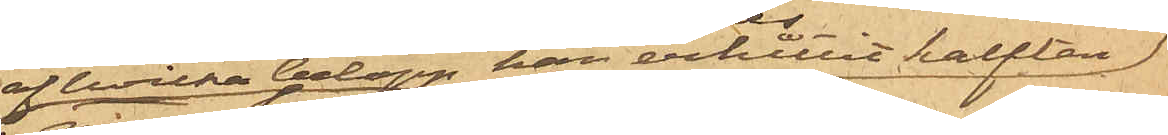af hvilka belopp han erhållit hälften;
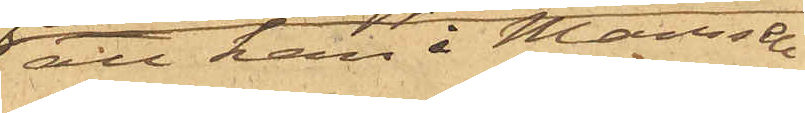att han i Mamsell
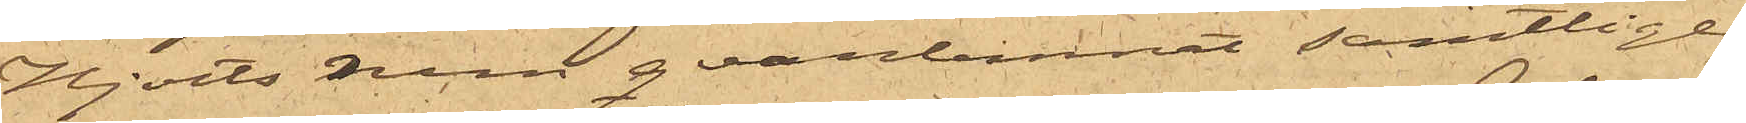Hjorts rum qvarlemnat samtlige
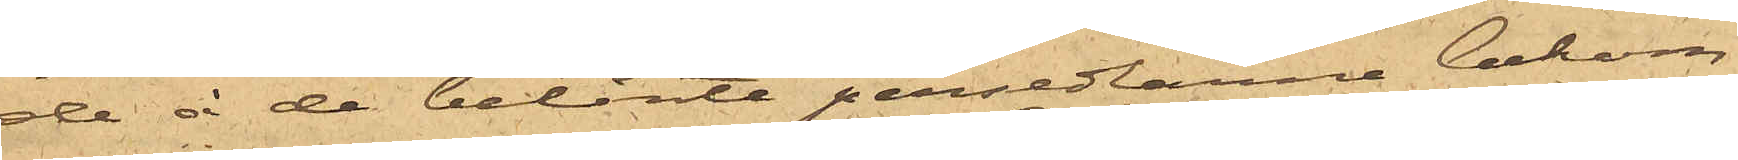de å de belånte persedlarne bekom¬
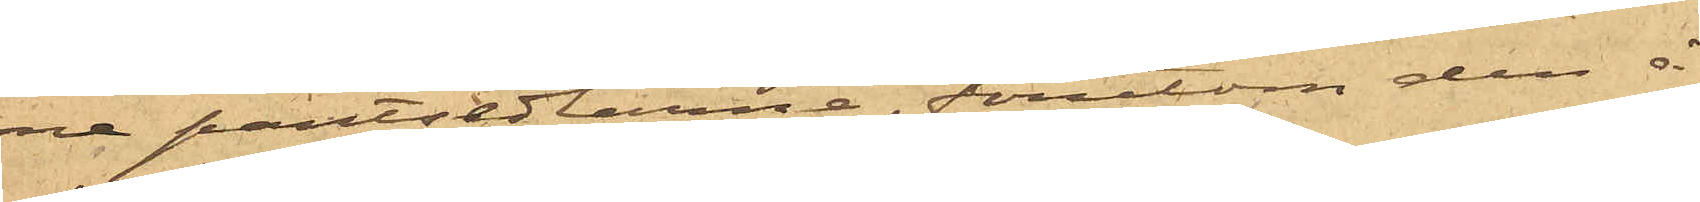ne pantsedlarne, förutom den å
